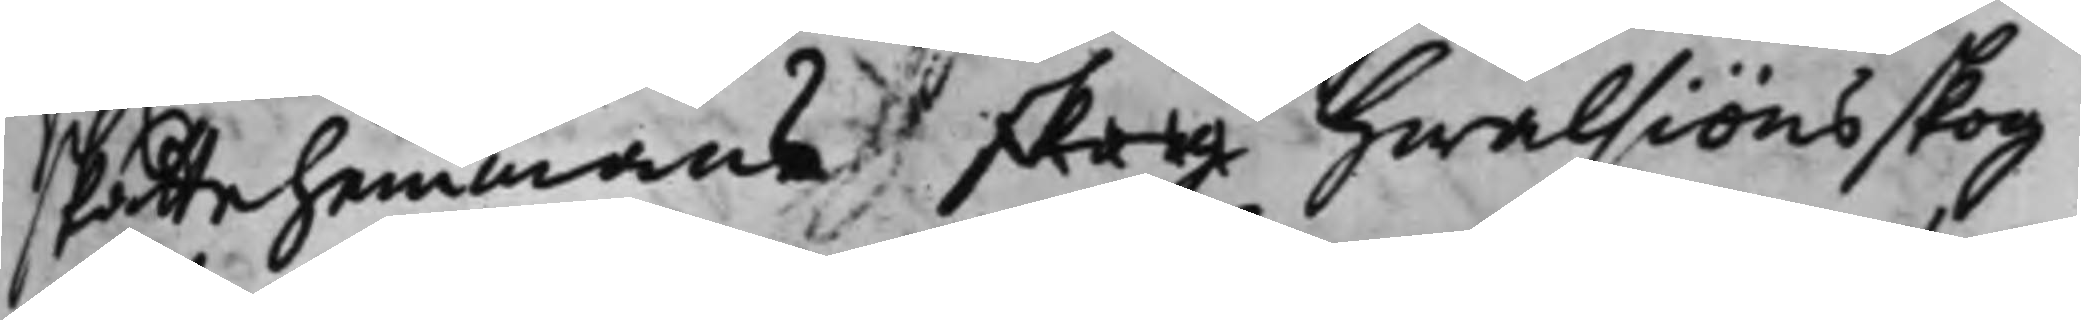Skattehemmans skog Hwalsiöns skog
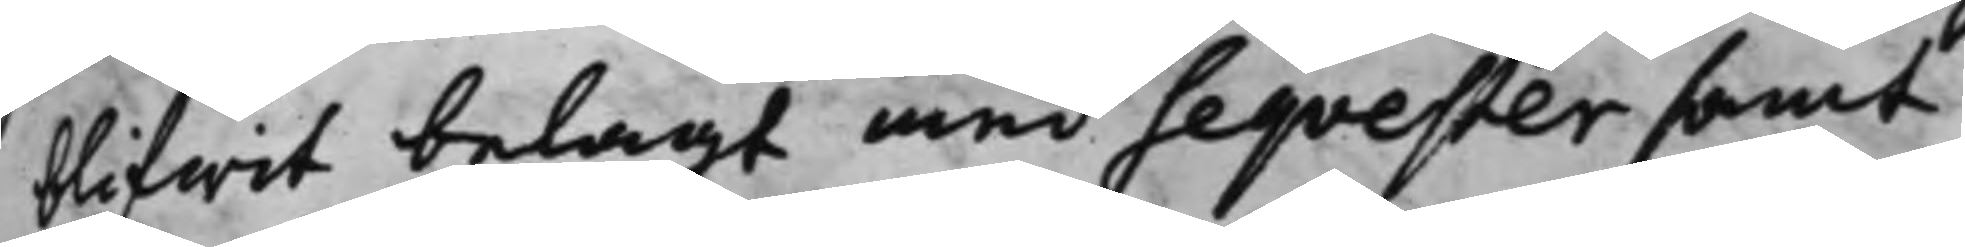blifwit belagt med Seqvester samt
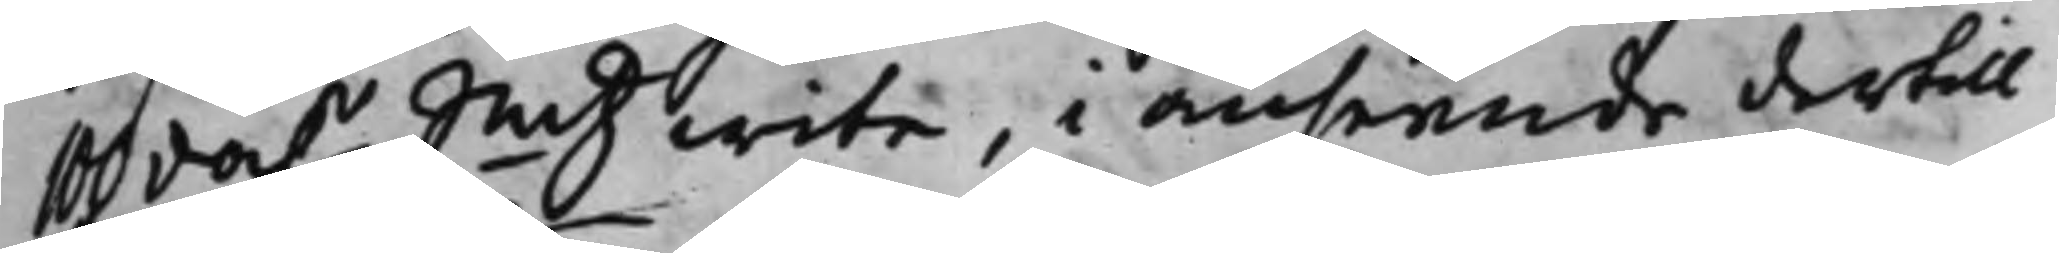100 da.r Smtz wite, i anseende dertill
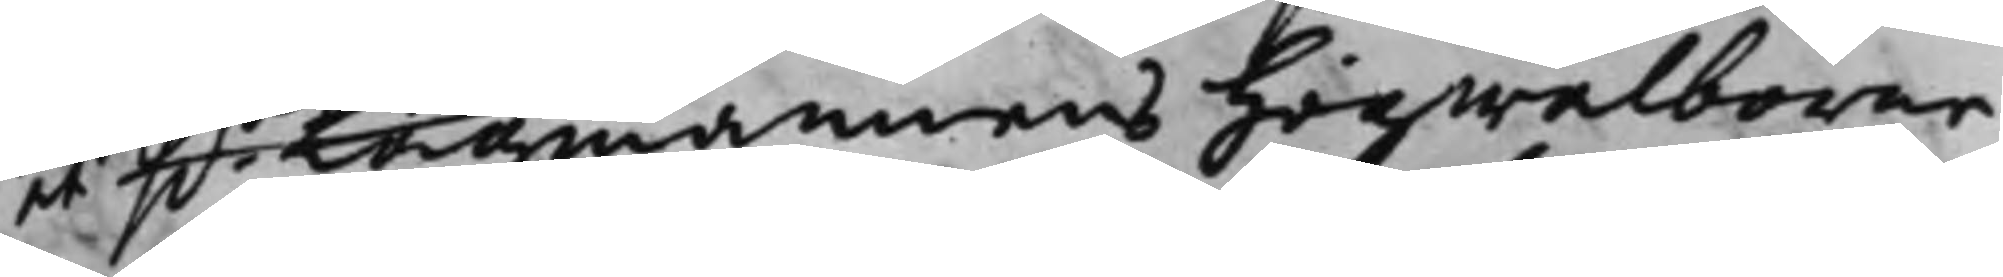at H.r Lagmannens Högwälborne
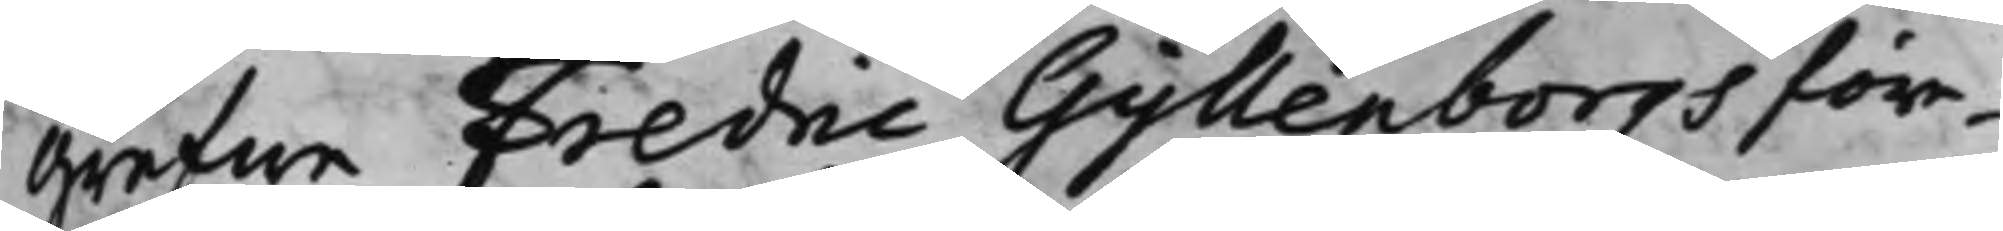Grefwe Fredric Gyllenborgs före¬
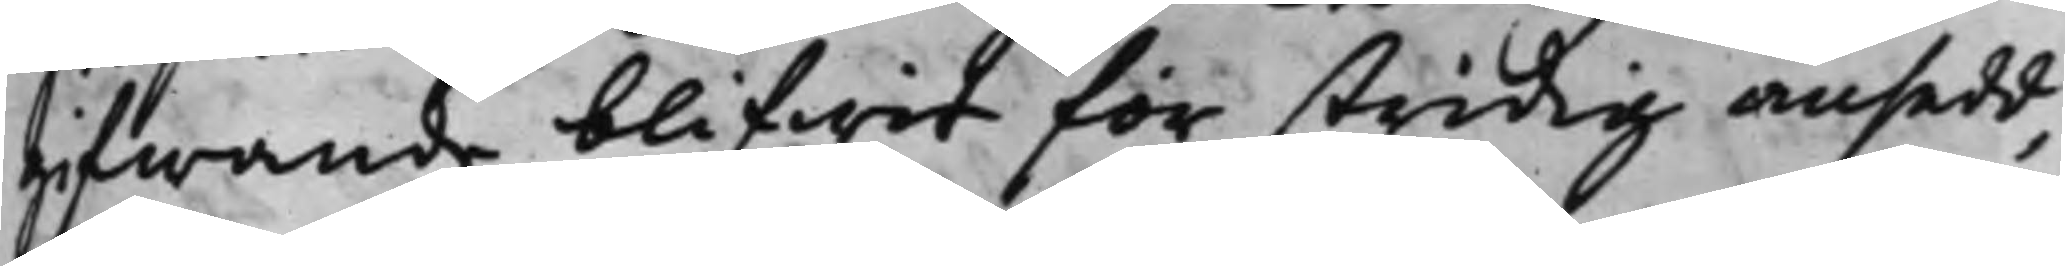gifwande blifwit för stridig ansedd,
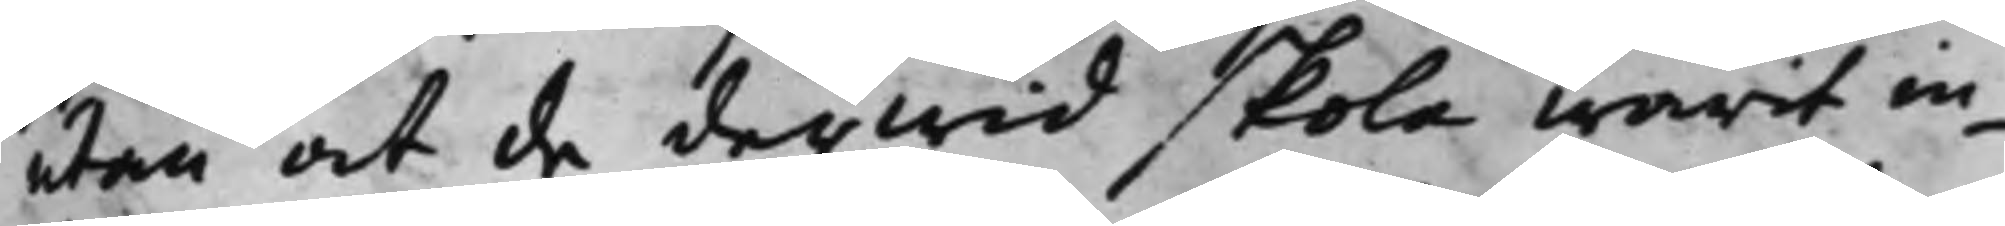utan at de derwid skola warit in¬
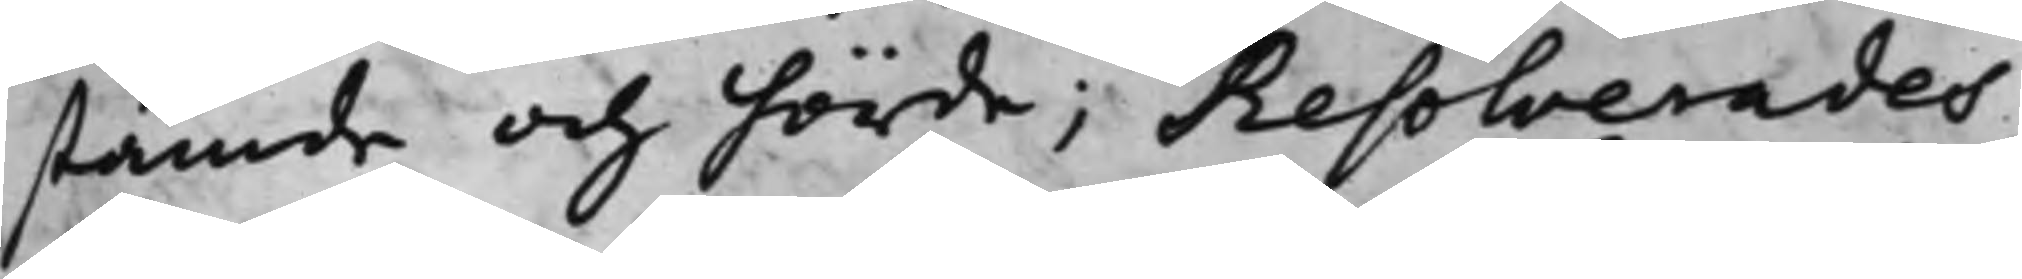stämde och hörde; Resolverades
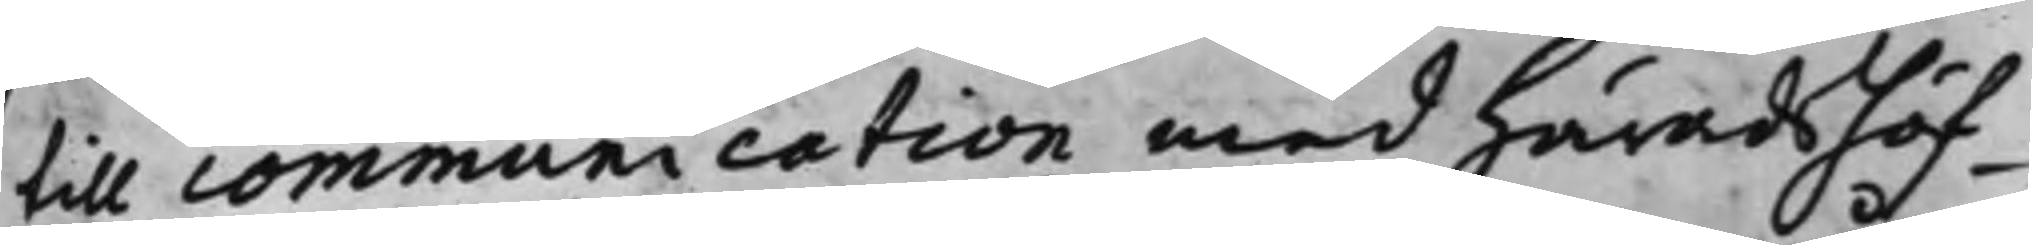till communication med Häradshöf¬
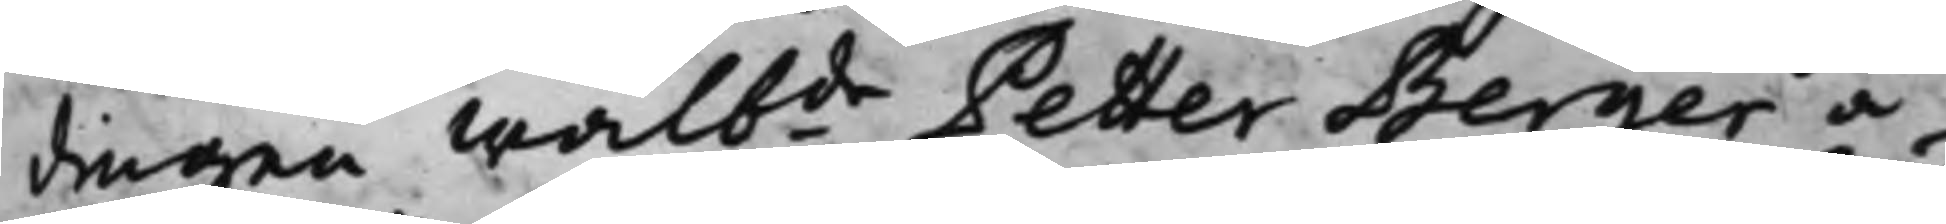dingen Wälbde Petter Berger å
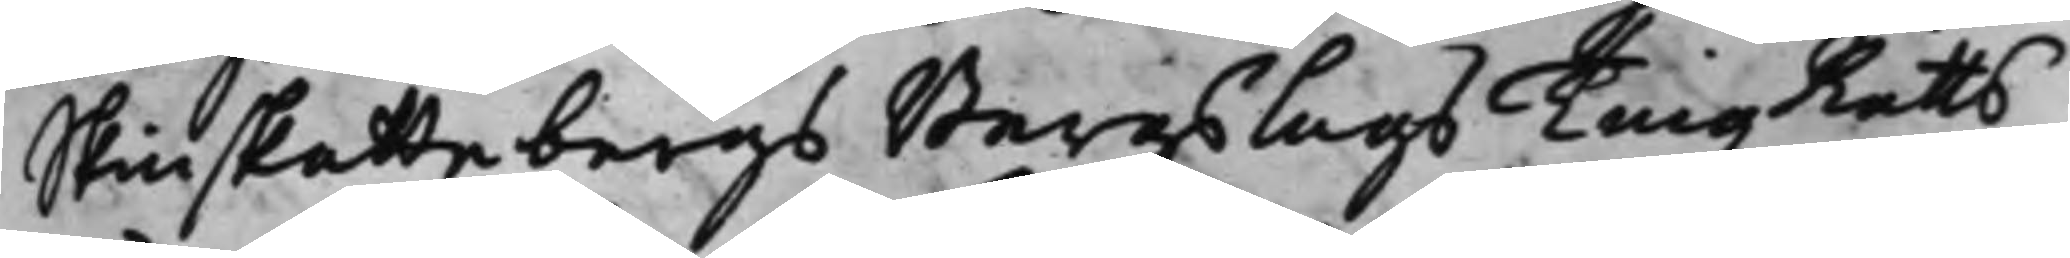Skinskattebergs Bergslags TingzRätts
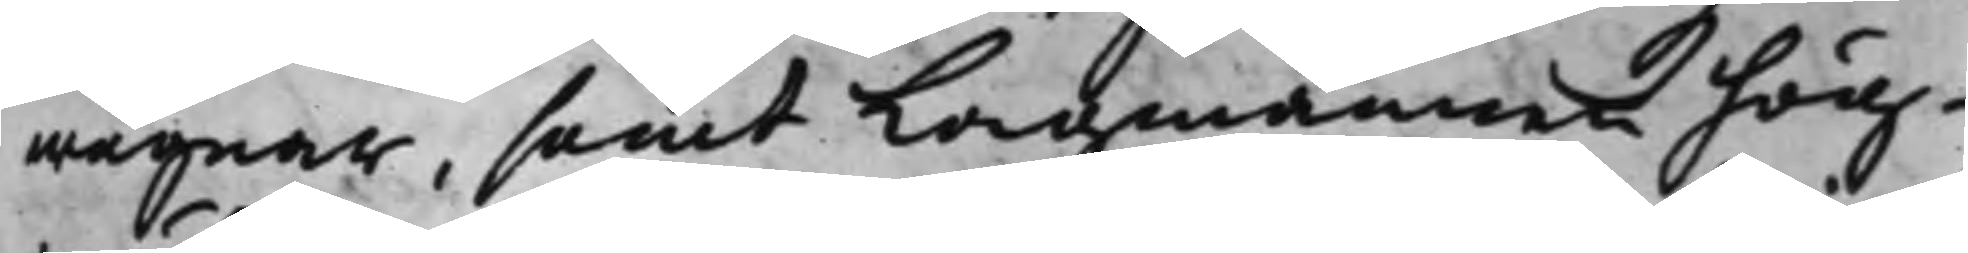wägnar, samt Lagmannen hög¬
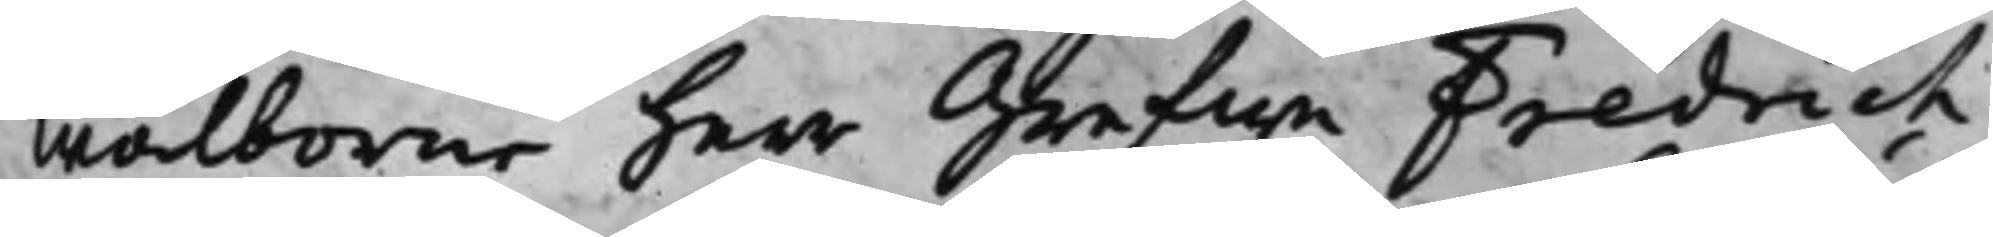wälborne herr Grefwe Fredrich
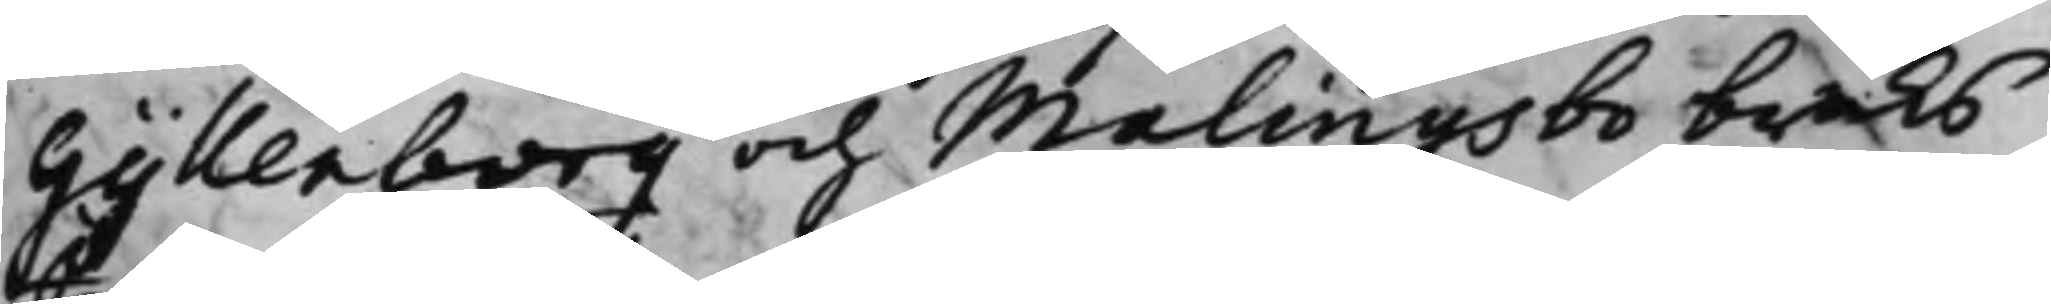Gyllenborg och Malingsbo bruks
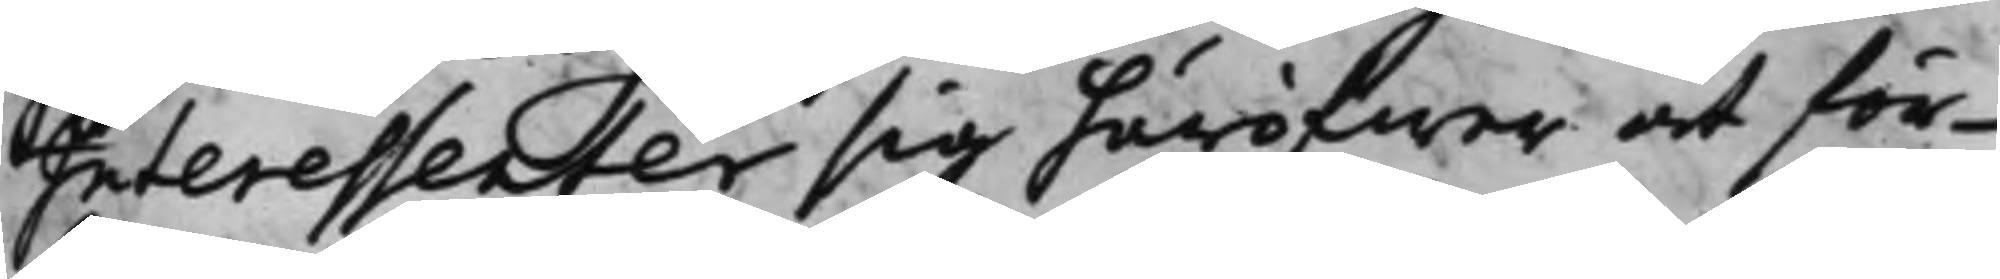Interessenter sig häröfwer at för¬
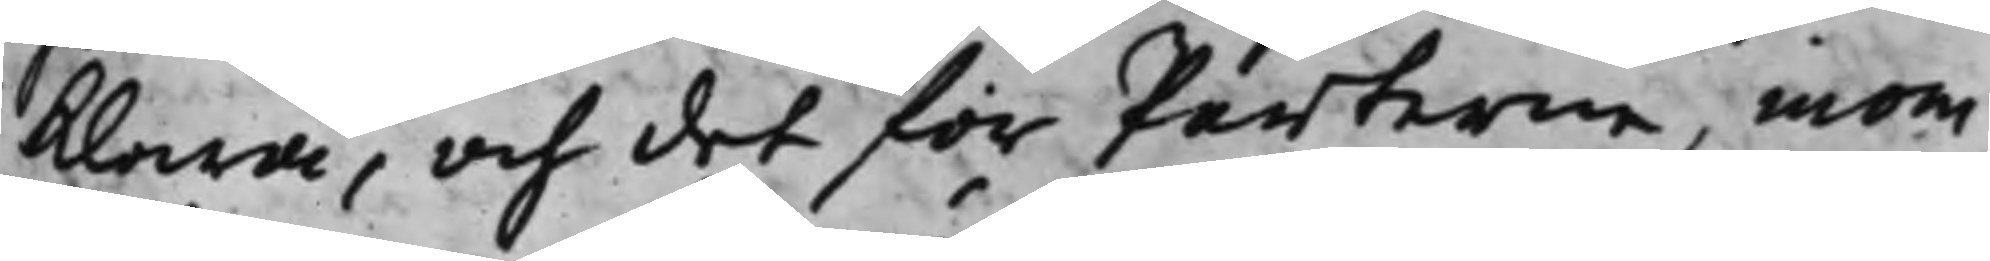klara, och det för Parterne, inom
